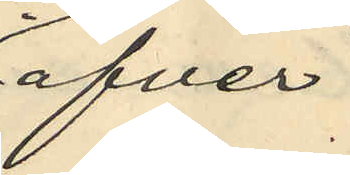öfver
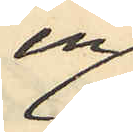en
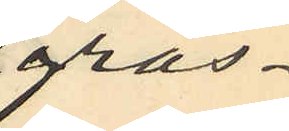gräs¬
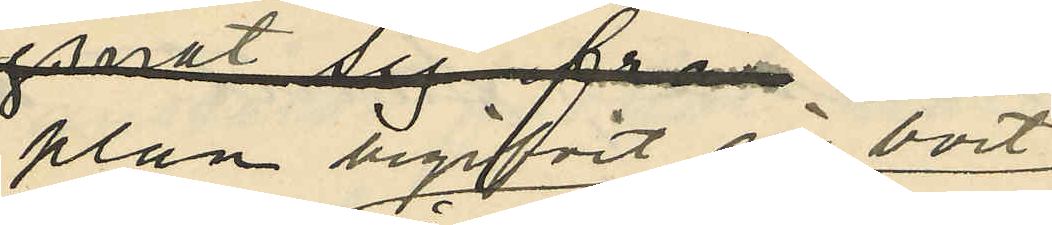plan begifvit sig bort
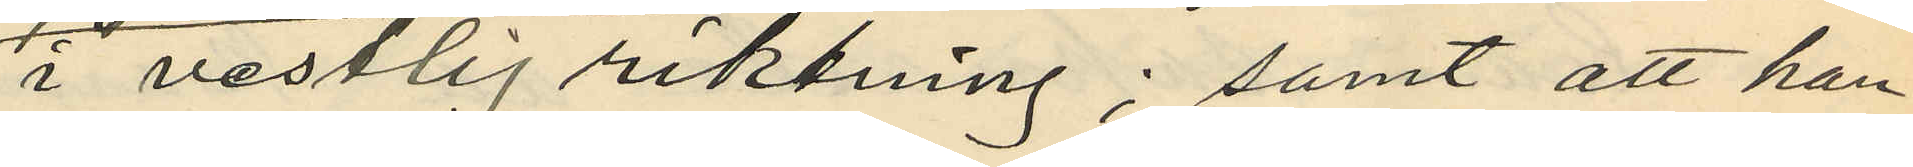i vestlig riktning; samt att han
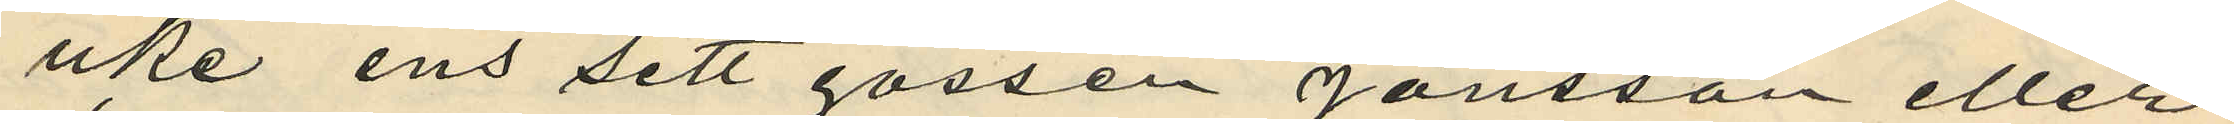icke ens sett gossen Jonsson eller
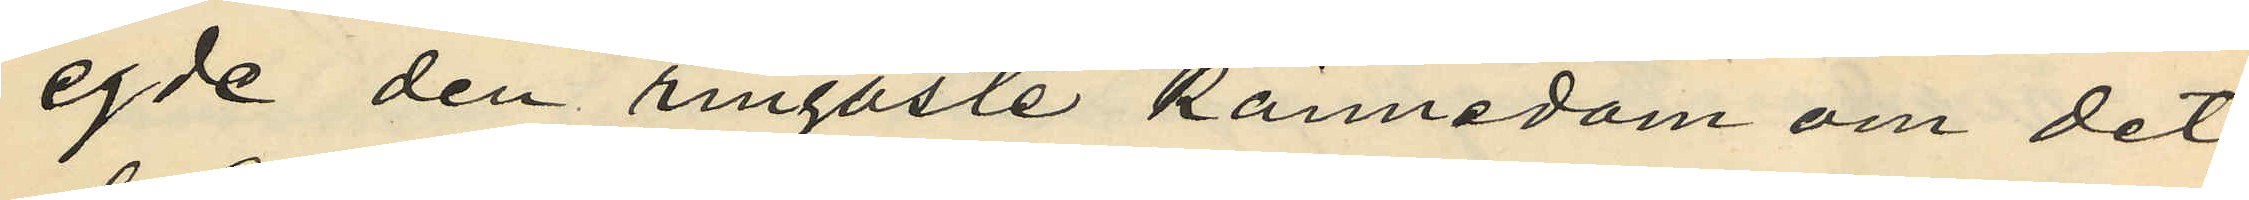egde den ringaste kännedom om det
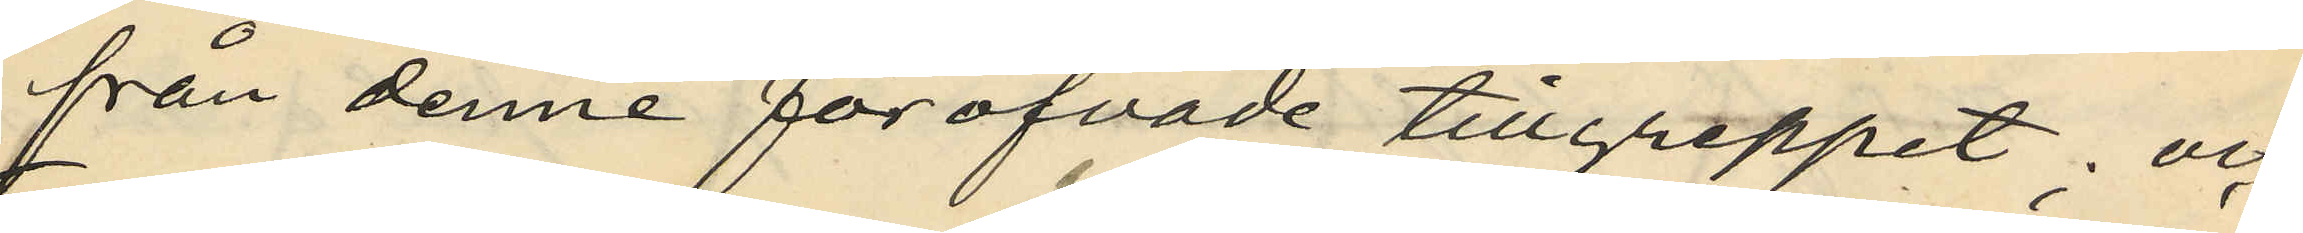från denne föröfvade tillgreppet; och
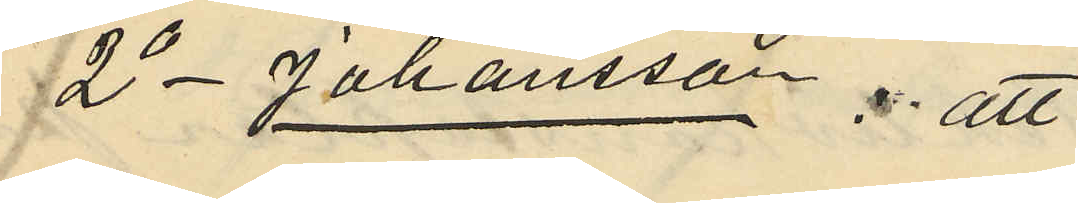2o Johansson; att
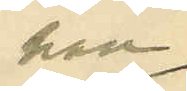han
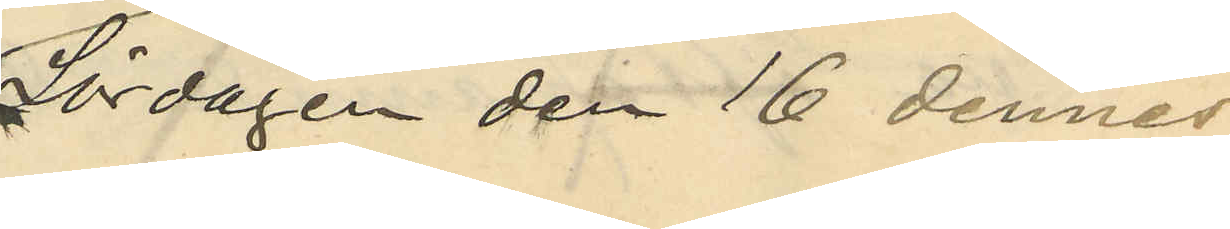Lördagen den 16 dennes
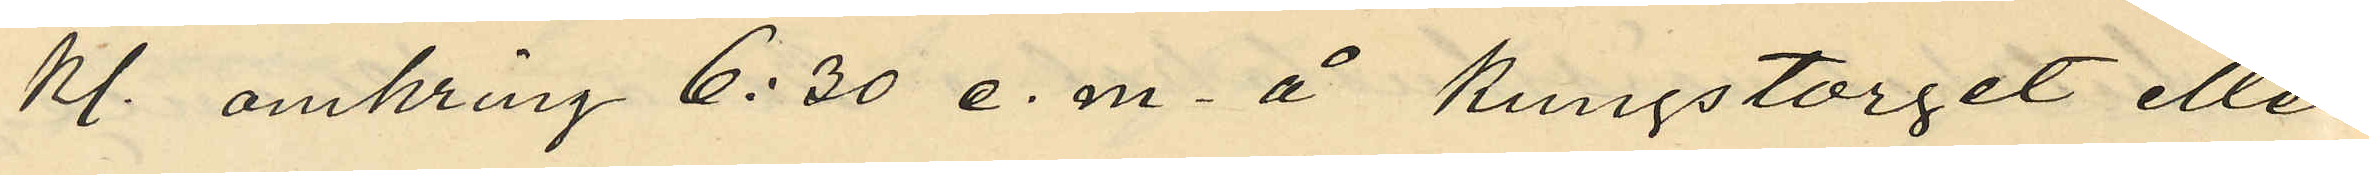Kl. omkring 6:30 e. m. å Kungstorget eller
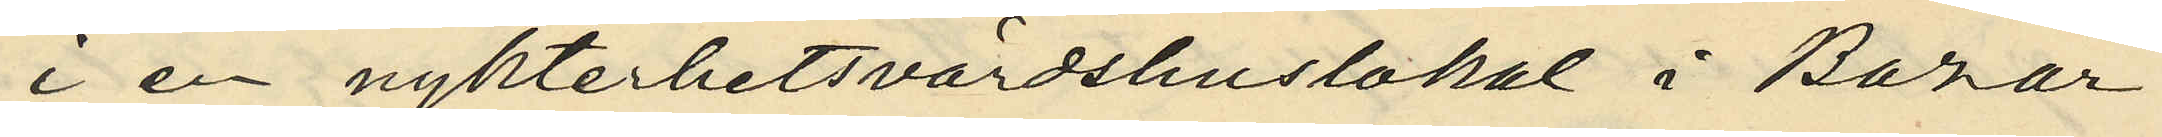i en nykterhetsvärdshuslokal i Bazar
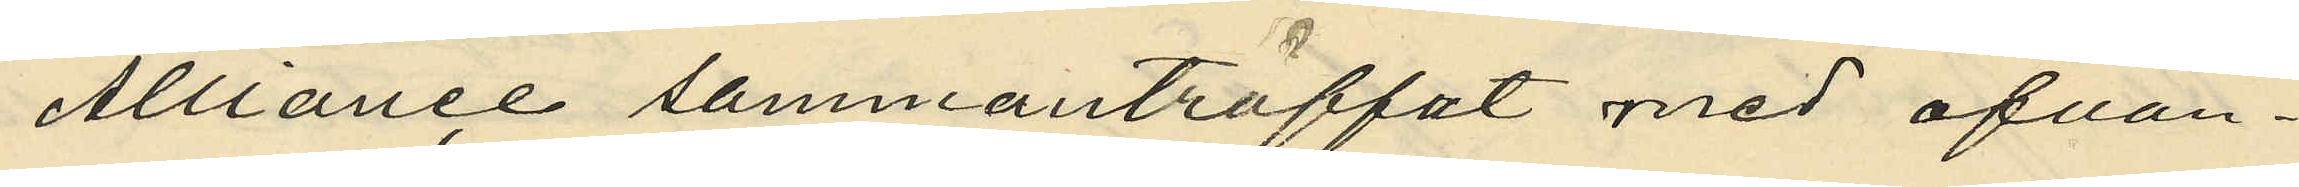Alliance sammanträffat med ofvan¬
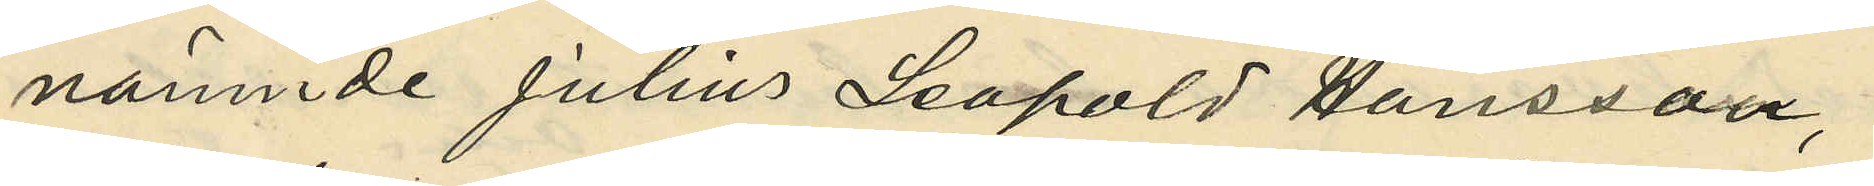nämnde Julius Leapold Hansson,
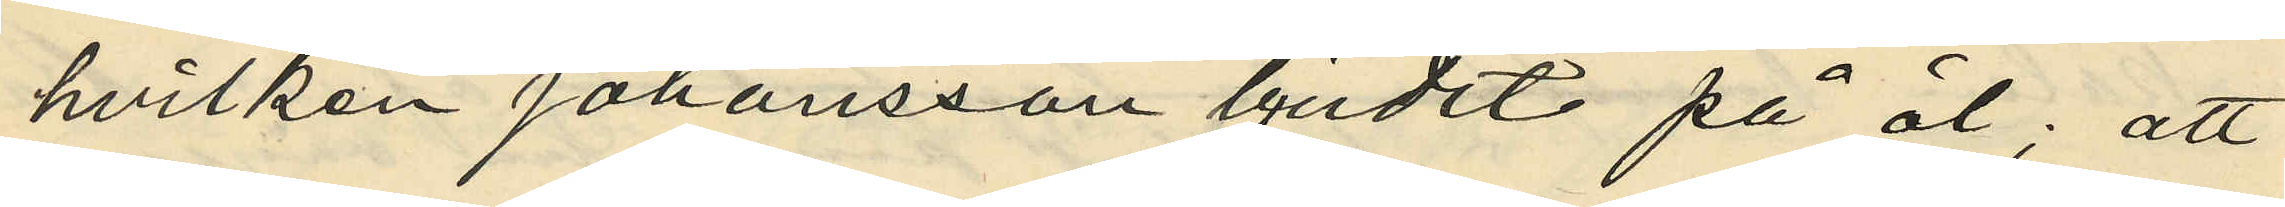hvilken Johansson bjudit på öl; att
